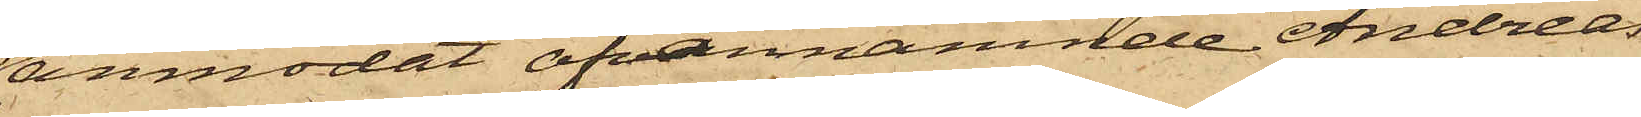anmodat ofvannämnde Andreas
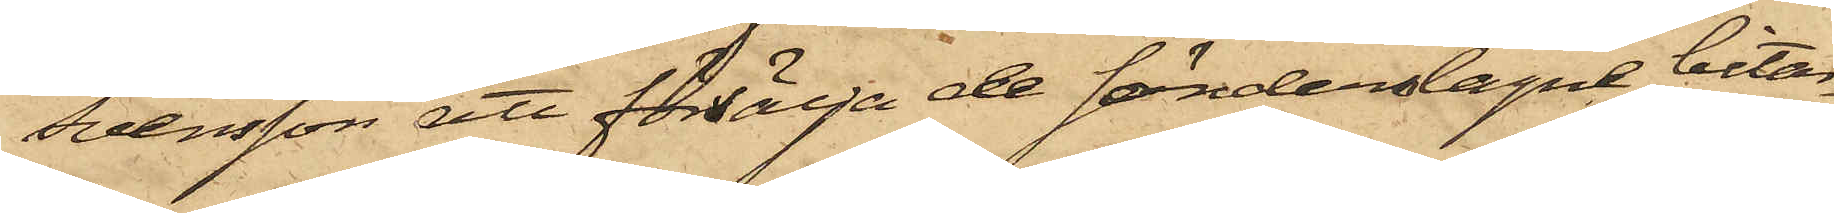Svensson att försälja de söndertagne bitar¬
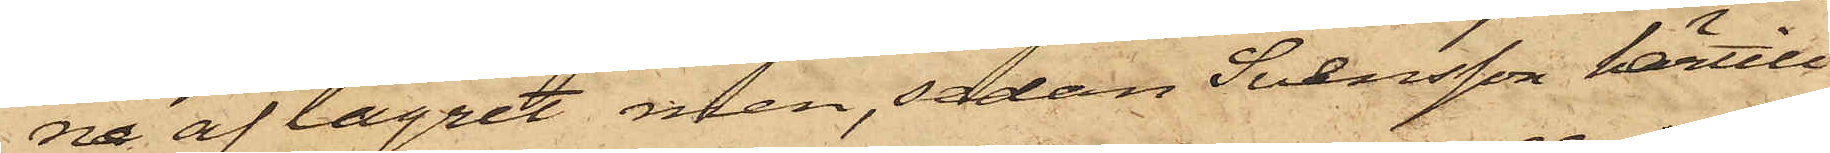na af lagret men, sedan Svensson härtill
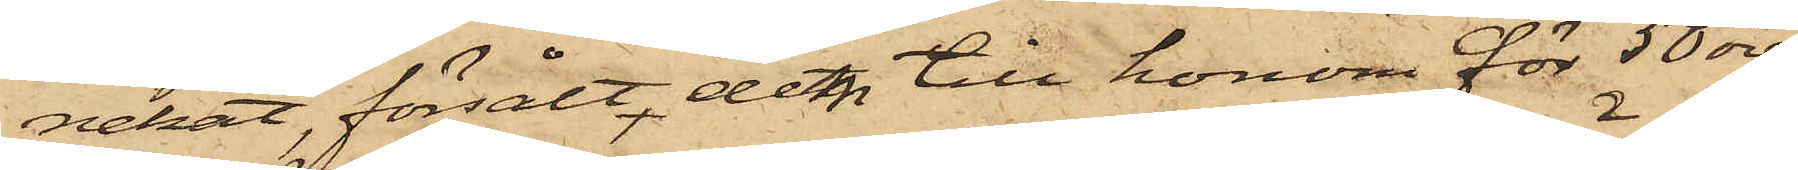nekat, försålt det till honom för 50 öre,
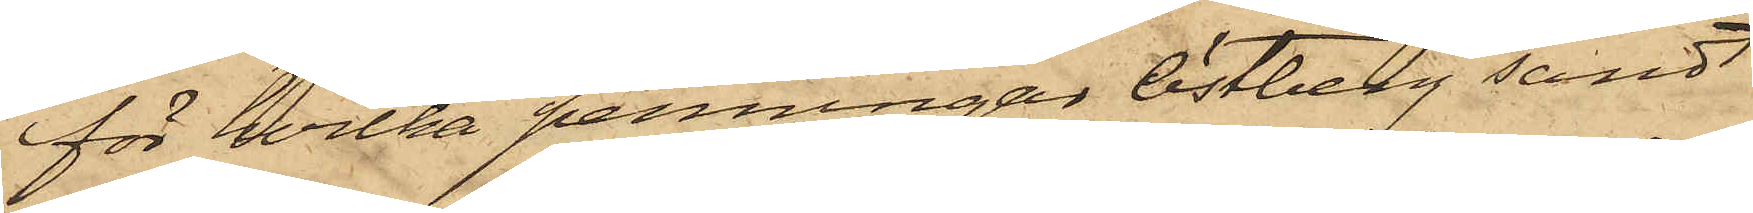för hvilka penningar Östberg sändt
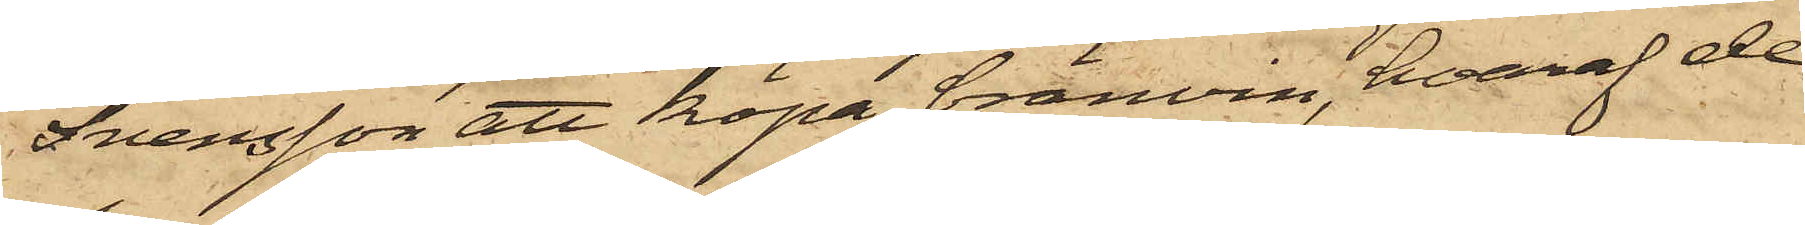Svensson att köpa bränvin, hvaraf de
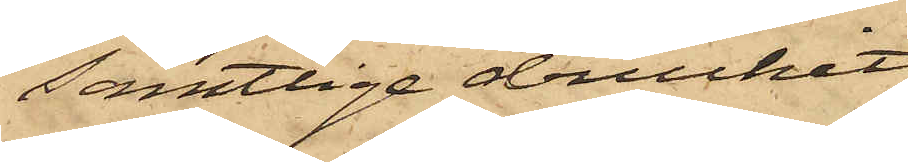samtlige druckit
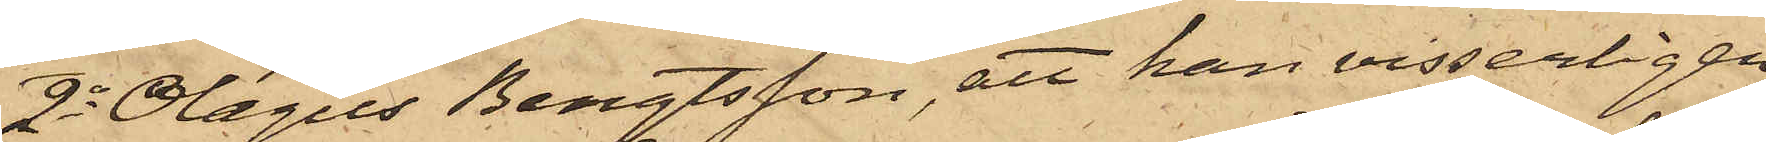2o Olagus Bengtsson, att han visserligen
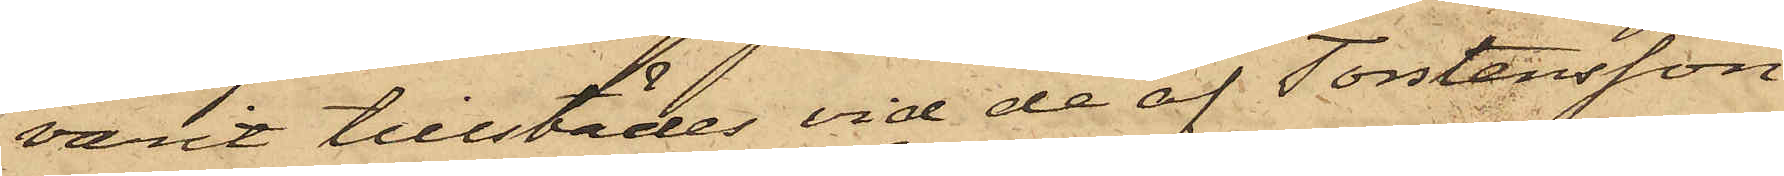varit tillstädes vid de af Torstensson
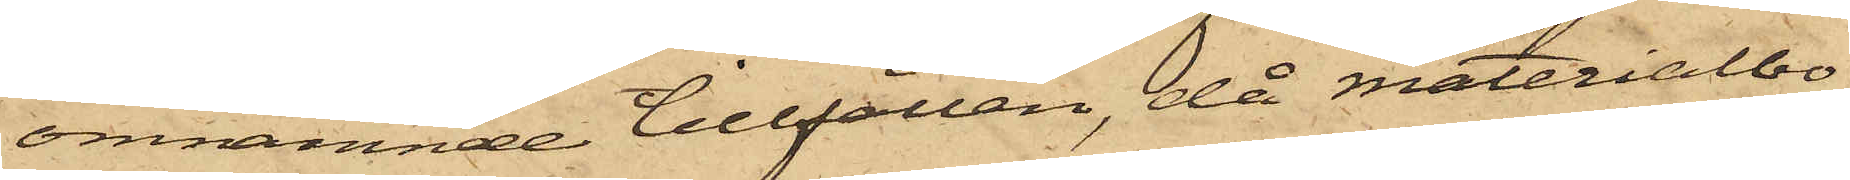omnämnde tillfällen, då Materialbo¬
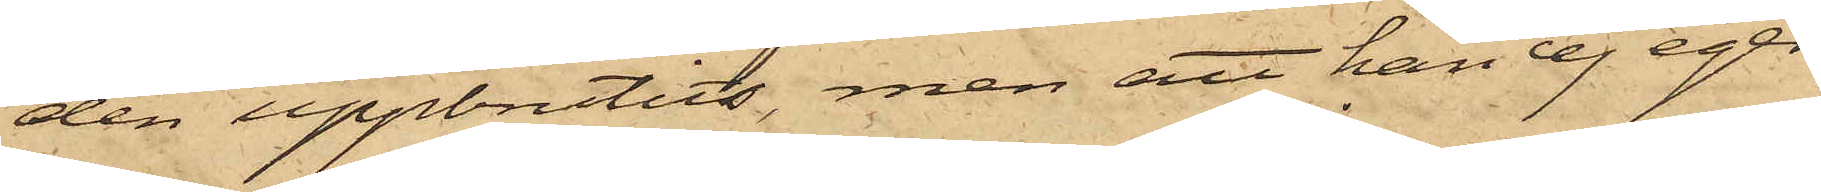den uppbrutits, men att han ej eger
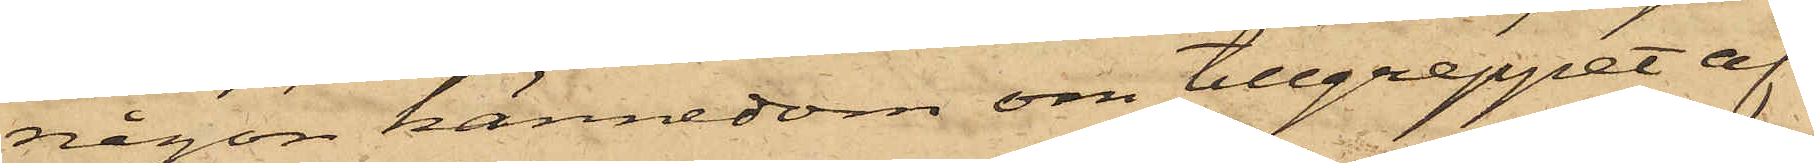någon kännedom om tillgreppet af
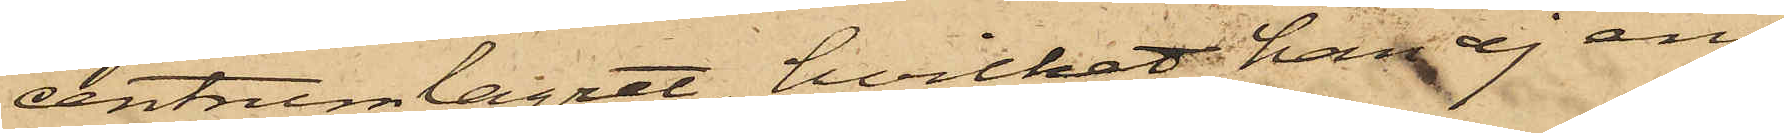centrumlaget, hvilket han ej ens
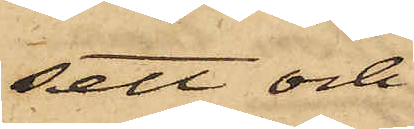sett och
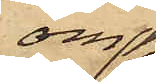om
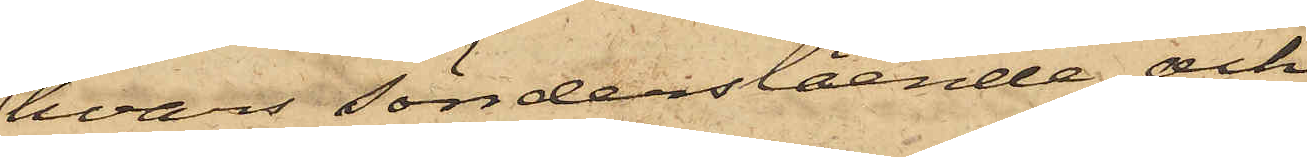hvars sönderslående och
